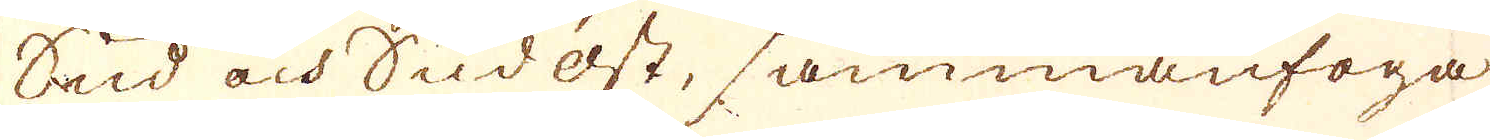Sud och Sudost, sammanfoga
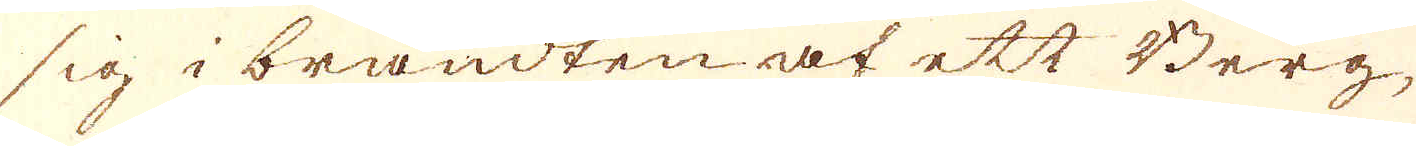sig i brändten af ett Berg,
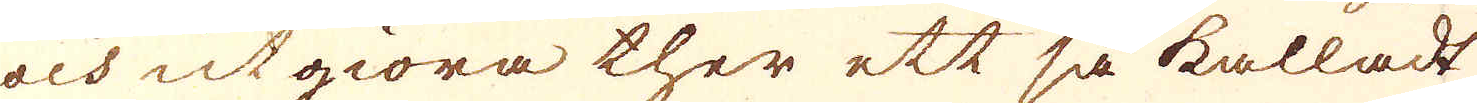och utgiöra ther ett så kalladt
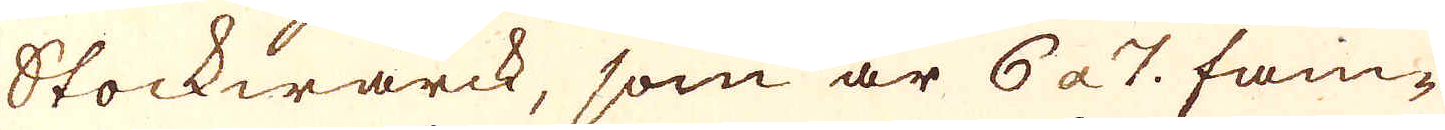Stockwärck, som är 6 a 7. fam-
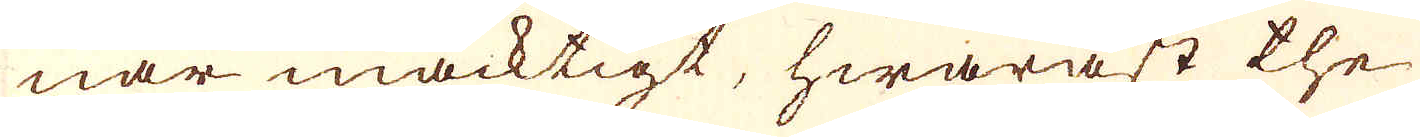nar mäcktigt, hwaräst the
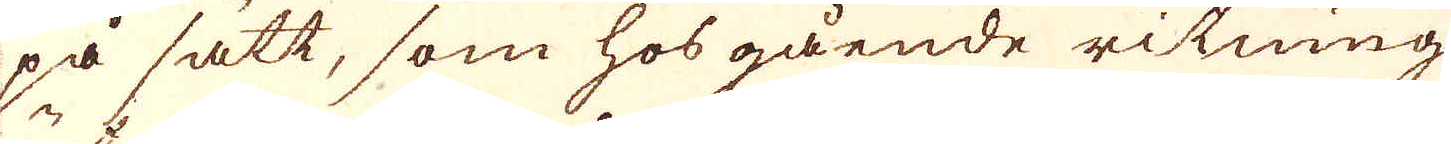på sätt, som hos gående ritning
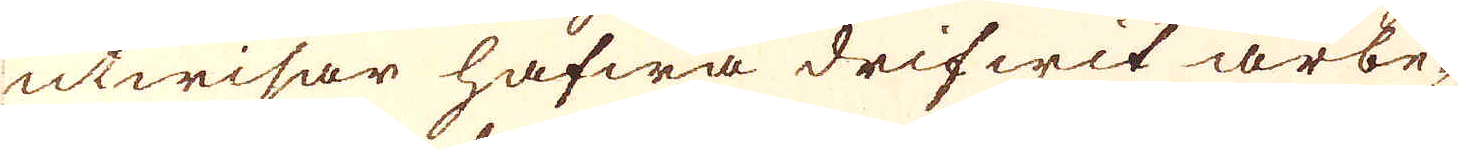utwisar hafwa drifwit arbe-
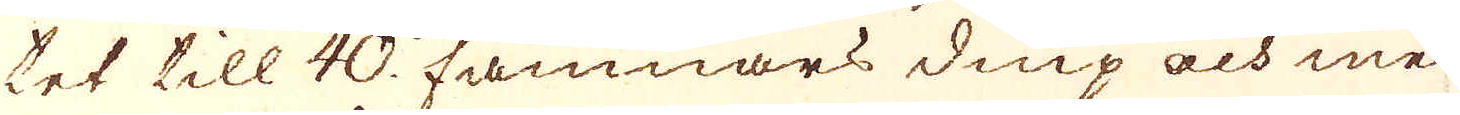tet till 40. famnars diup och med
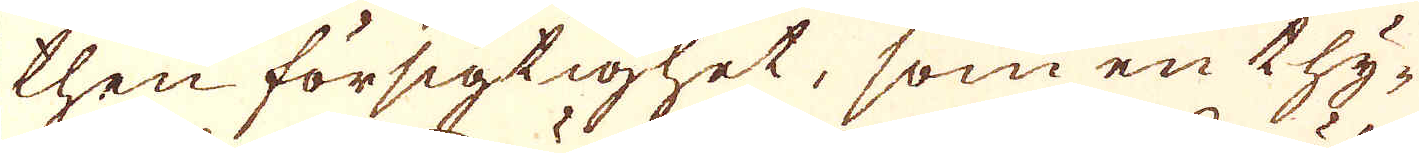then försigtighet, som en thy-
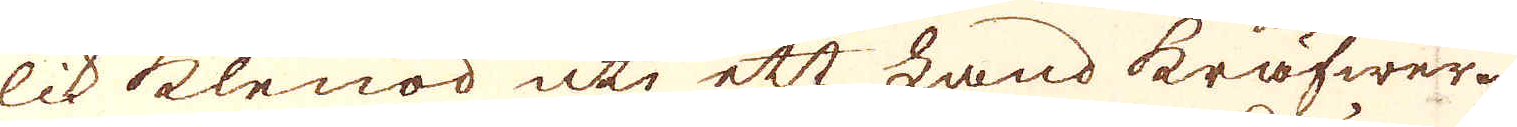lik klenod uti ett Land kräfwer.
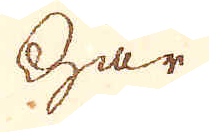Här
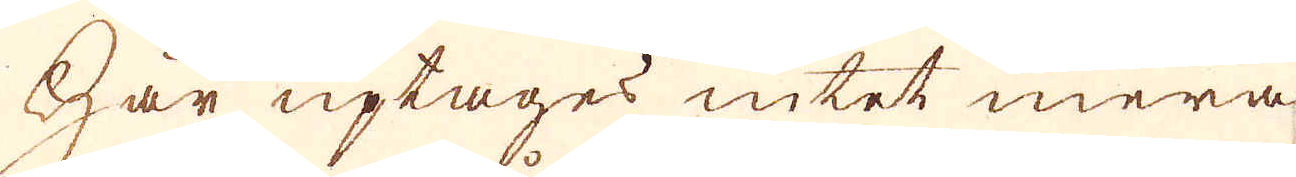Här uptages intet mera
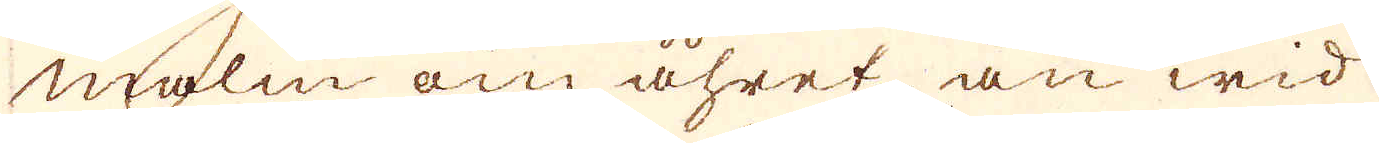malm om åhret än wid
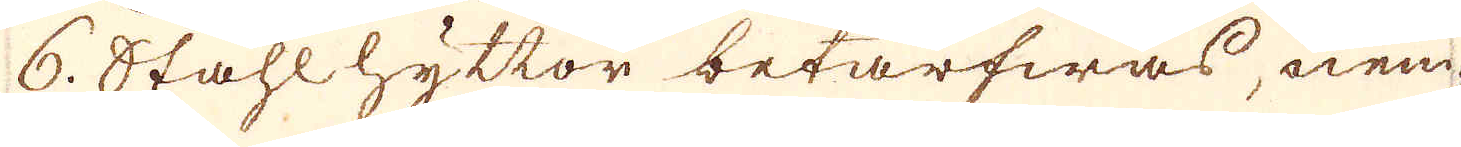6. Ståhlhyttor betarfwas, nem-
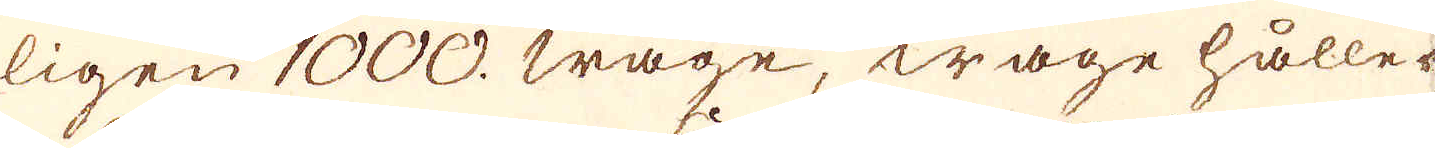ligen 1000. wage, wage håller
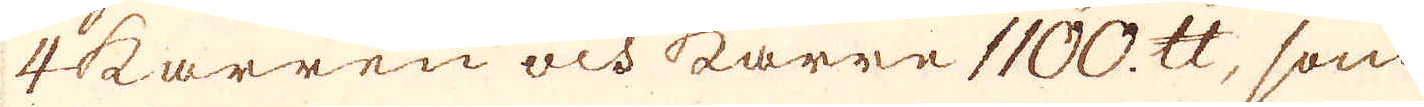4 karren och karre 1100. skålpund, som
